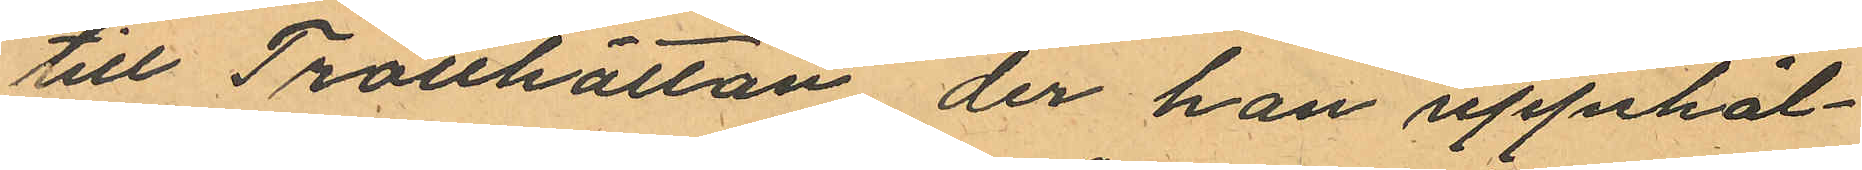till Trollhättan, der han uppehål¬
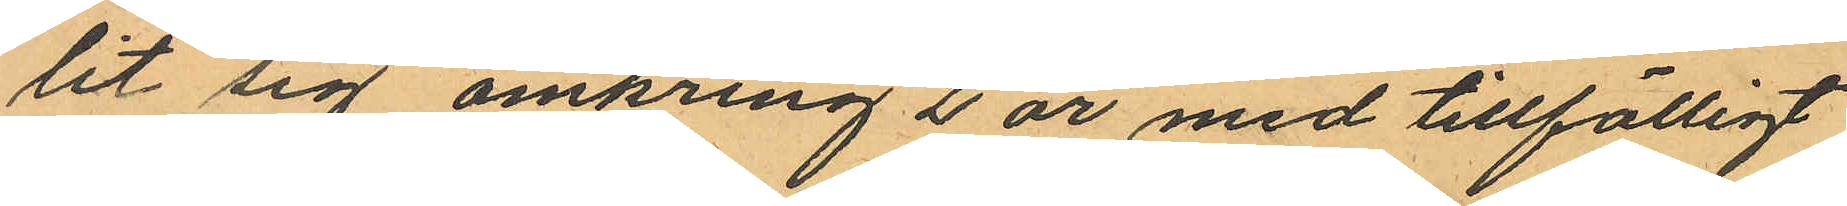lit sig omkring 2 år med tillfälligt
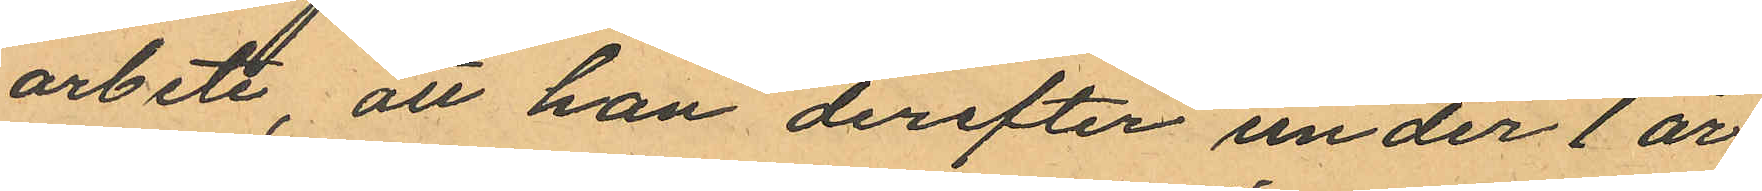arbete, att han derefter under 1 år
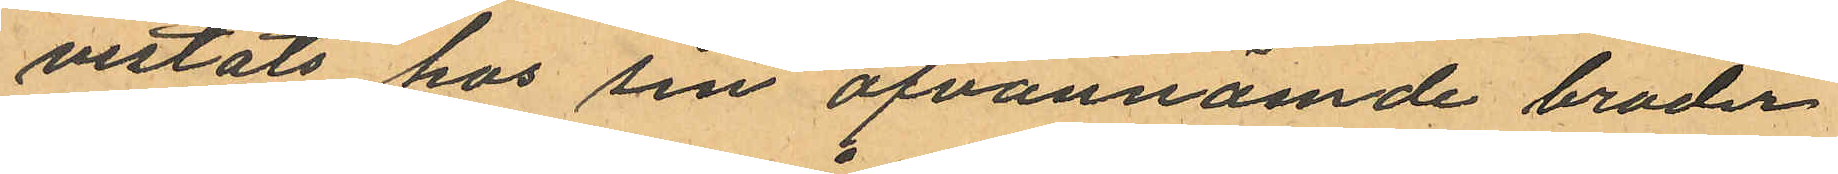vistats hos sin ofvannämde broder
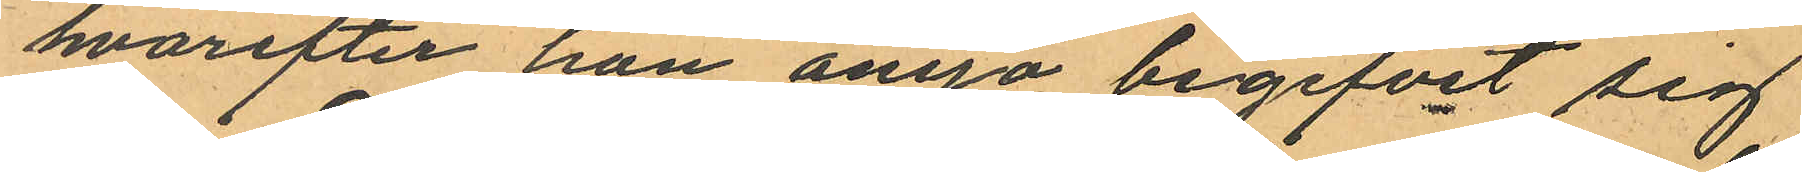hvarefter han ånyo begifvit sig
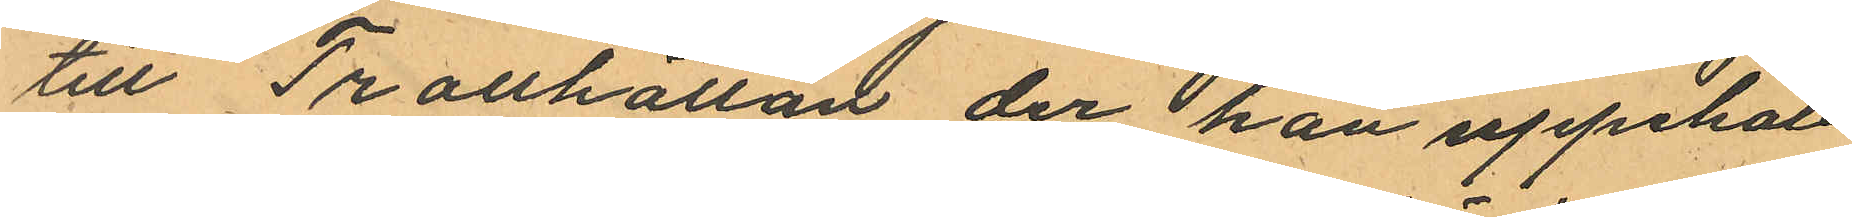till Trollhättan der han uppehåll
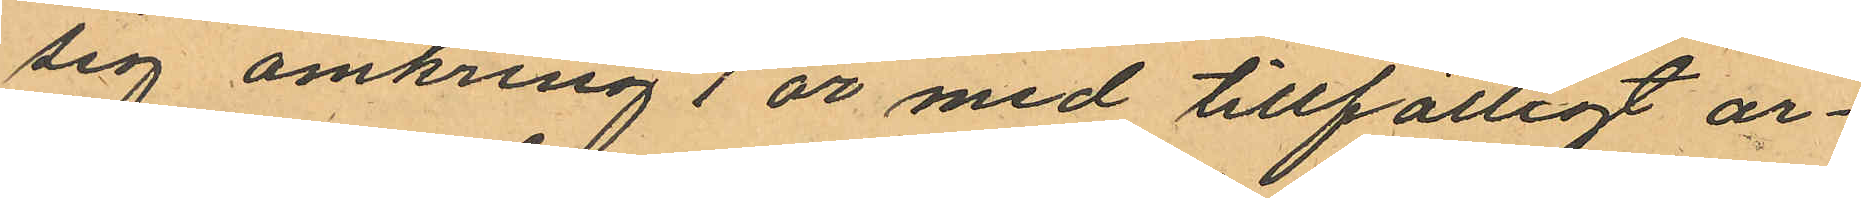sig omkring 1 år med tillfälligt ar¬
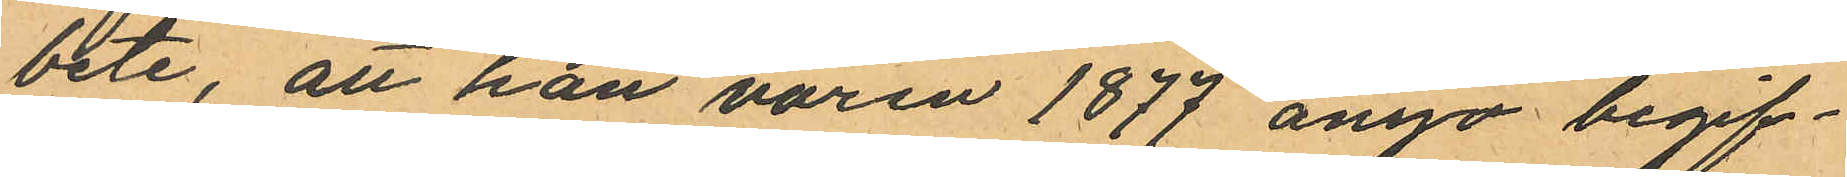bete, att han våren 1877 ånyo begif¬
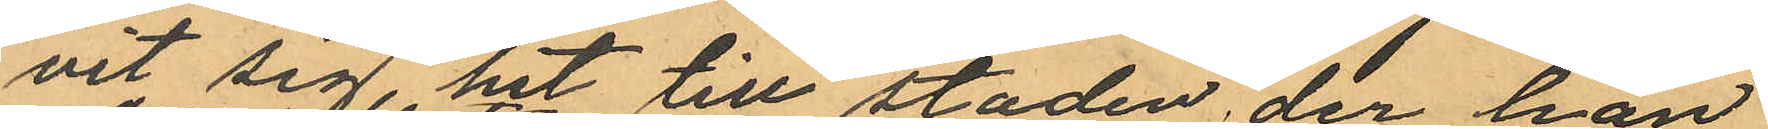vit sig hit till staden, der han
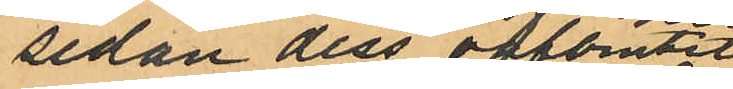sedan dess oafbrutet
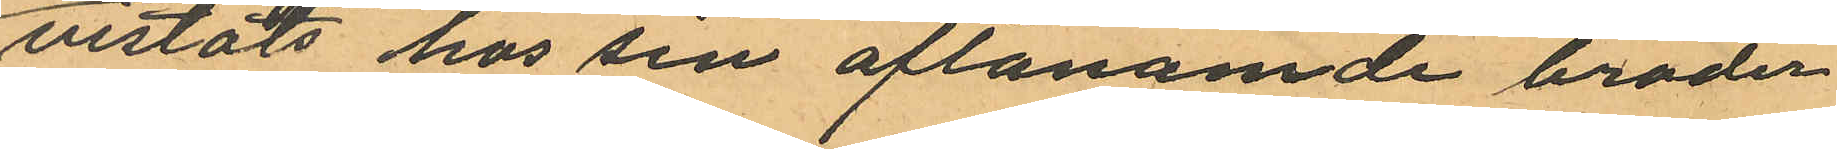vistats hos sin oftanämde broder
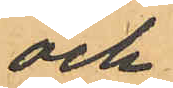och
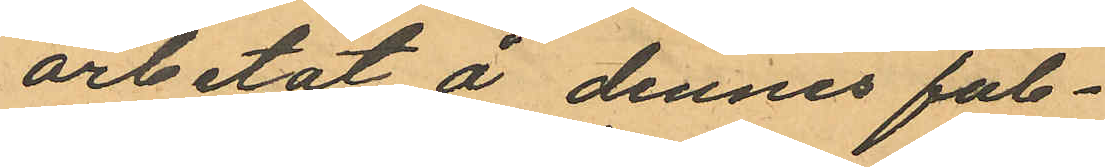arbetat å dennes fab¬
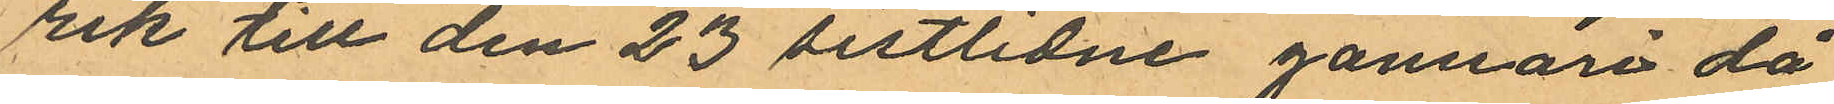rik till den 23 sistlidne Januari då
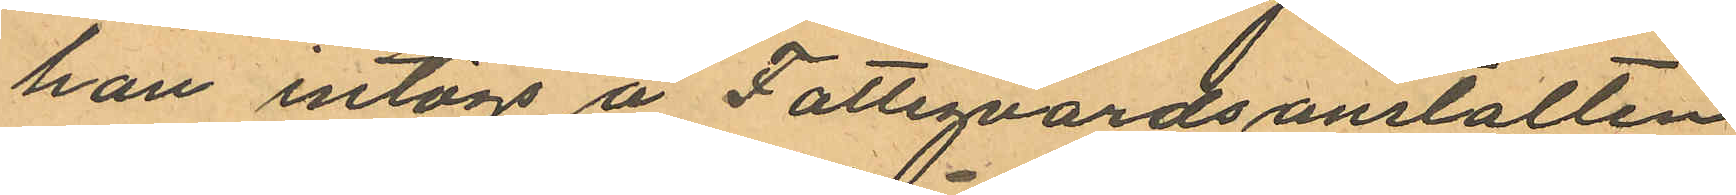han intogs å Fattigvårdsanstalten
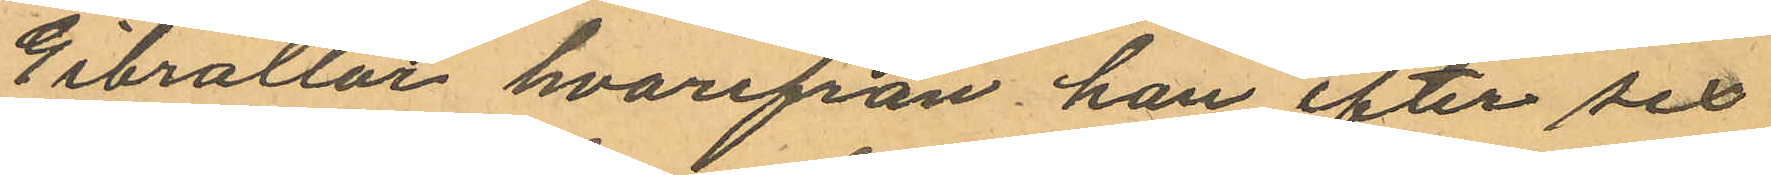Gibraltar hvarifrån han efter sex
